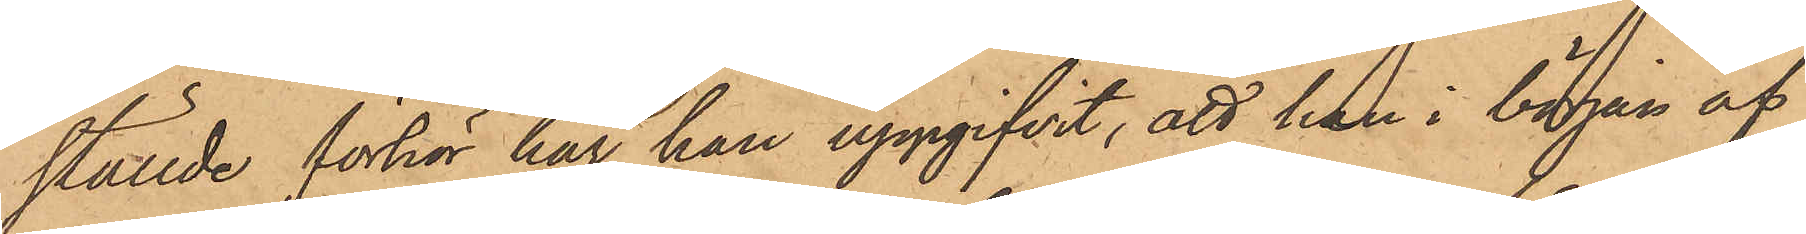ställde förhör har han uppgifvit, att han i början af
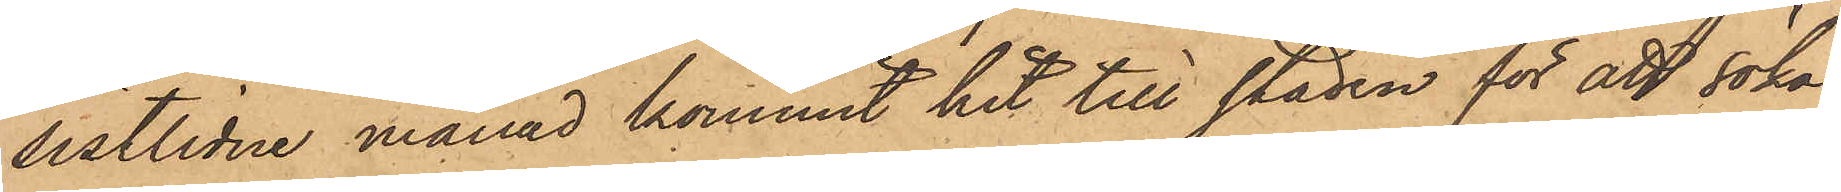sistlidne månad kommit hit till staden för att söka
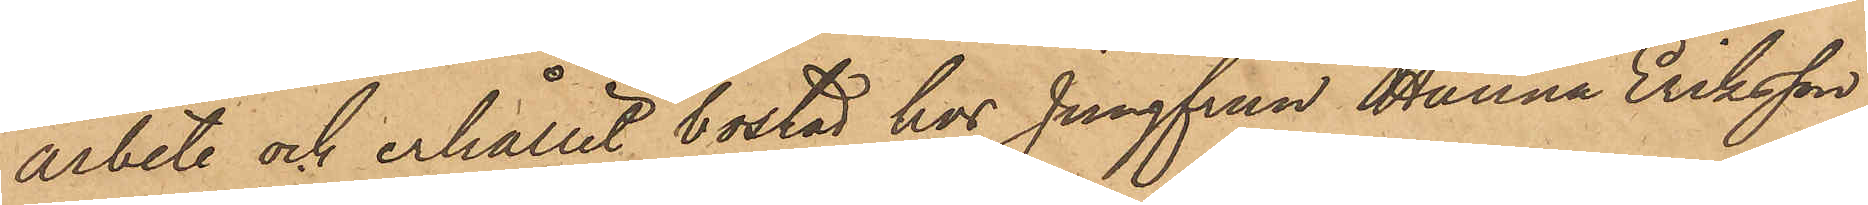arbete och erhållit bostad hos Jungfrun Hanna Eriksson
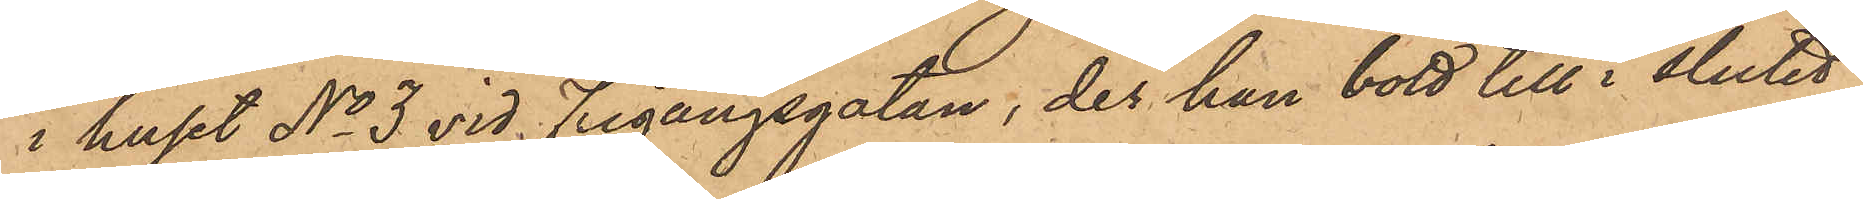i huset No 3 vid Frigångsgatan, der han bott till i slutet
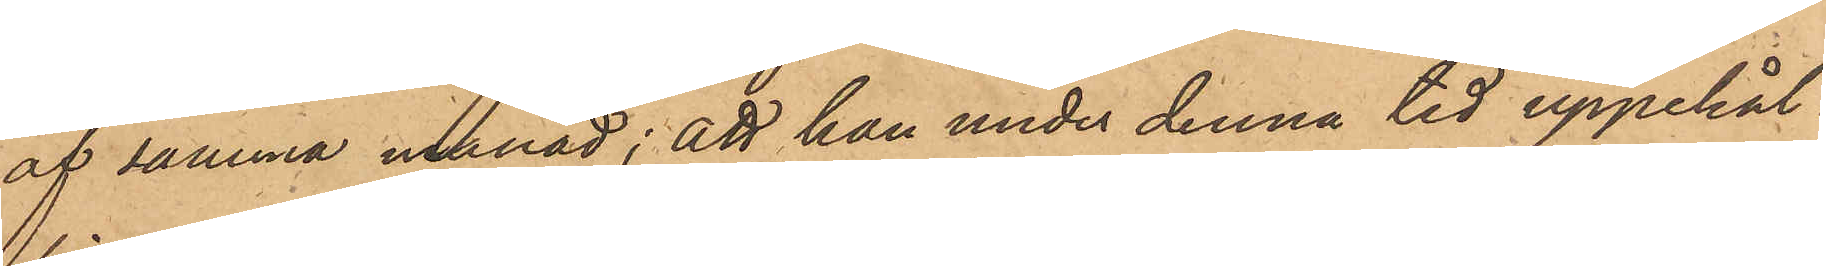af samma månad; att han under denna tid uppehål¬
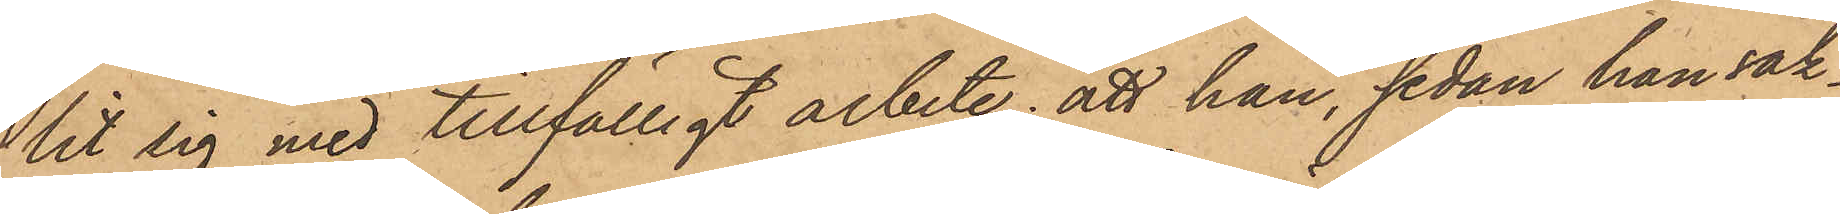lit sig med tillfälligt arbete; att han, sedan han sak¬
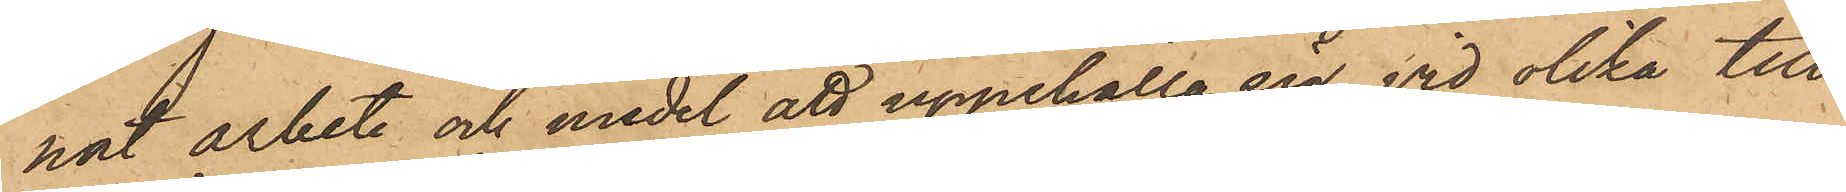nat arbete och medel att uppehålla sig, vid olika till¬
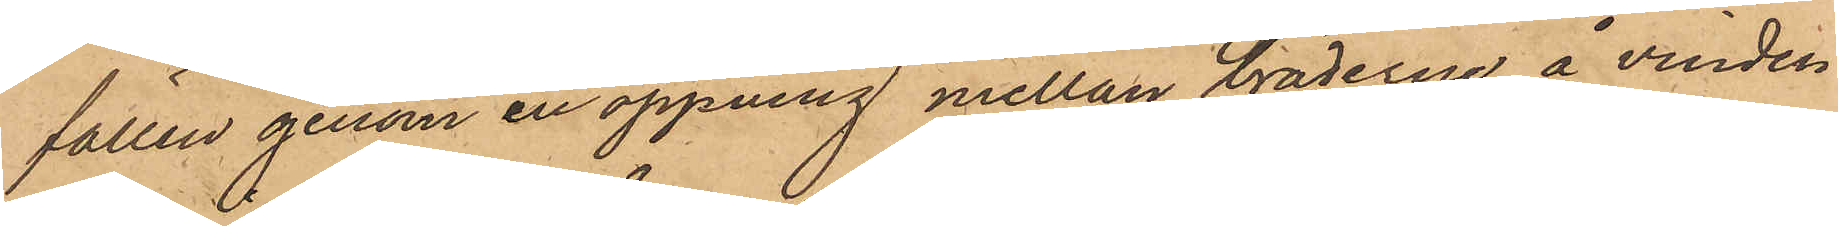fällen genom en öppning mellan bräderne å vinden
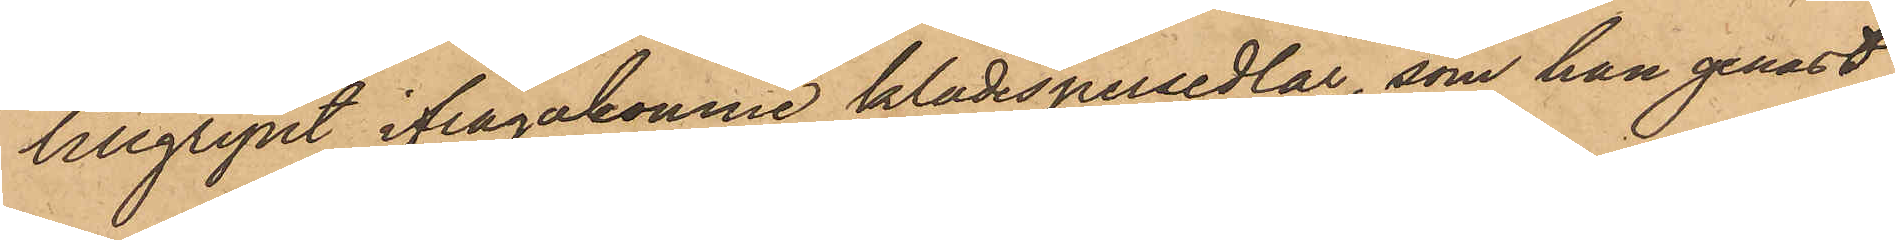tillgripit ifrågakomne klädespersedlar, som han genast
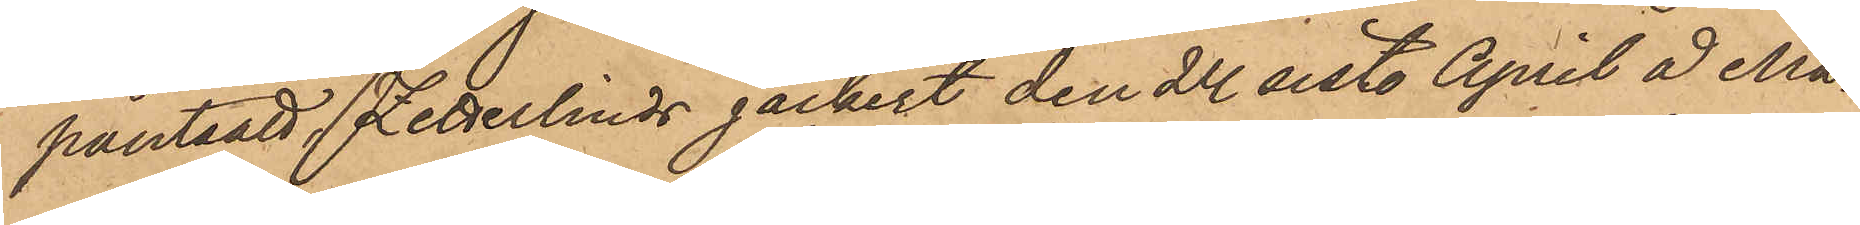pantsatt, Zetterlinds jäckert den 24 sist. April å Ma¬
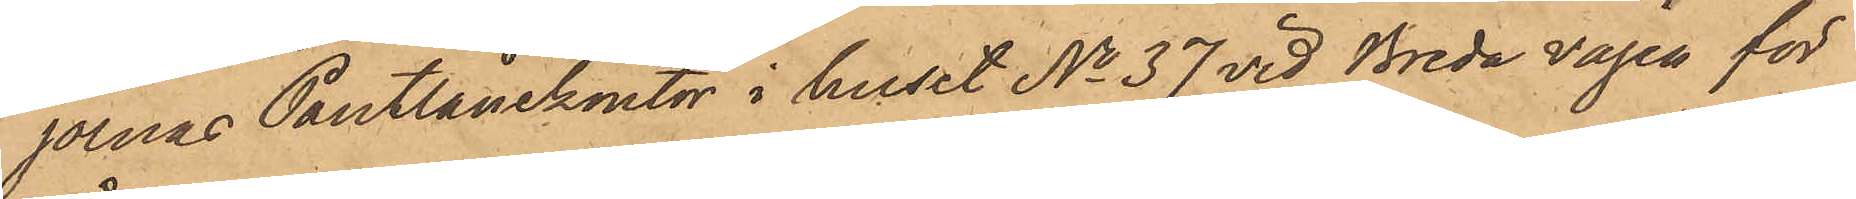jornas Pantlånekontor i huset No 37 vid Breda vägen för
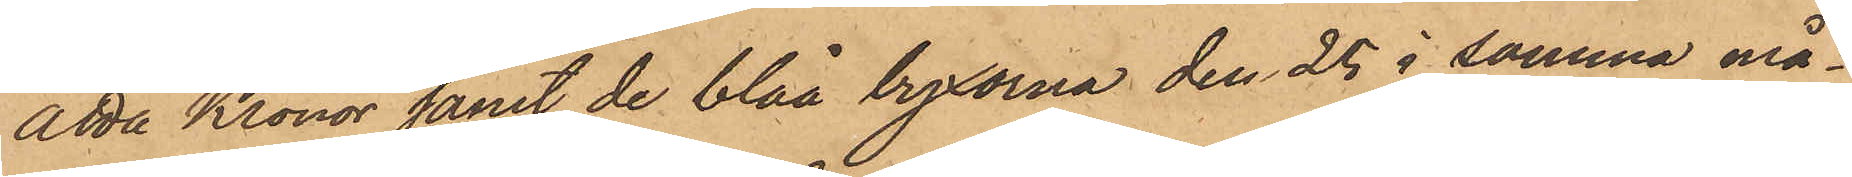åtta Kronor samt de blåa byxorna den 25 i samma må¬
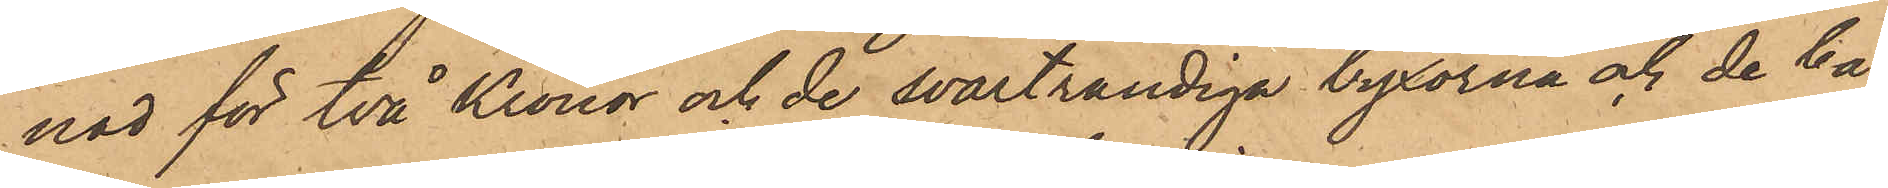nad för Två Kronor och de svartrandiga byxorna och de bå¬
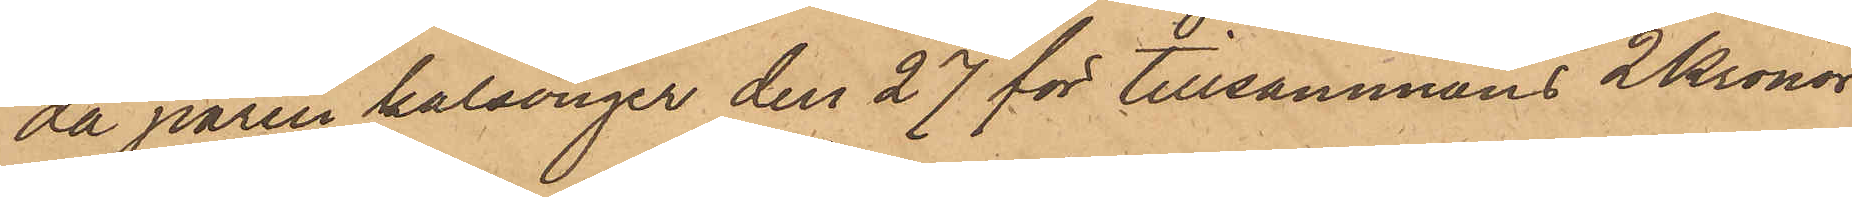da paren kalsonger den 27 för tillsammans 2 Kronor
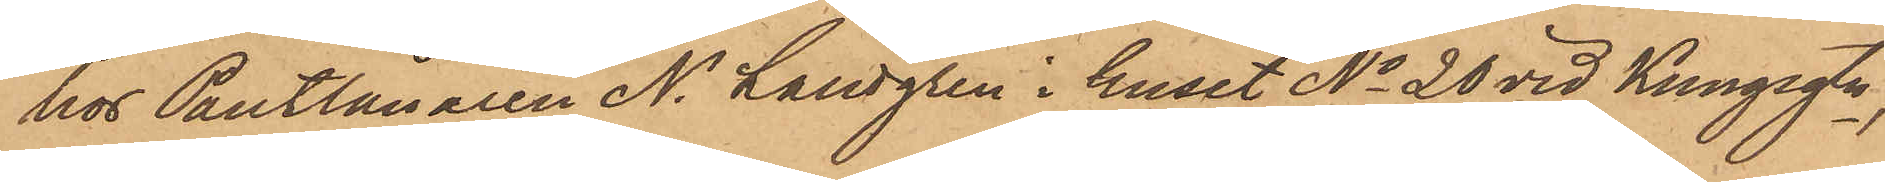hos Pantlånaren N. Landgren i huset No 20 vid Kungsgtn,
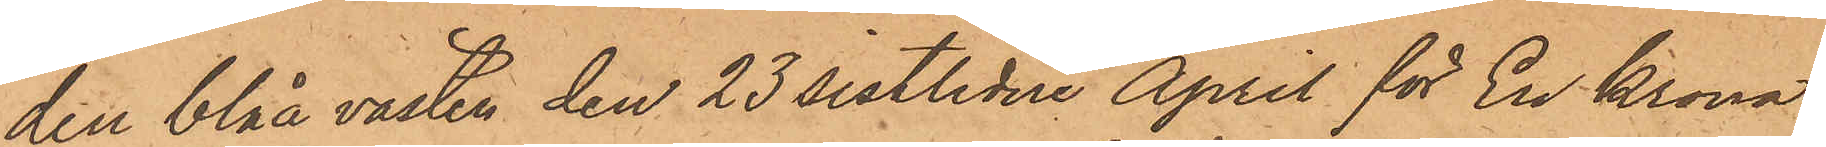den blåa västen den 23 sistlidne April för En Krona
